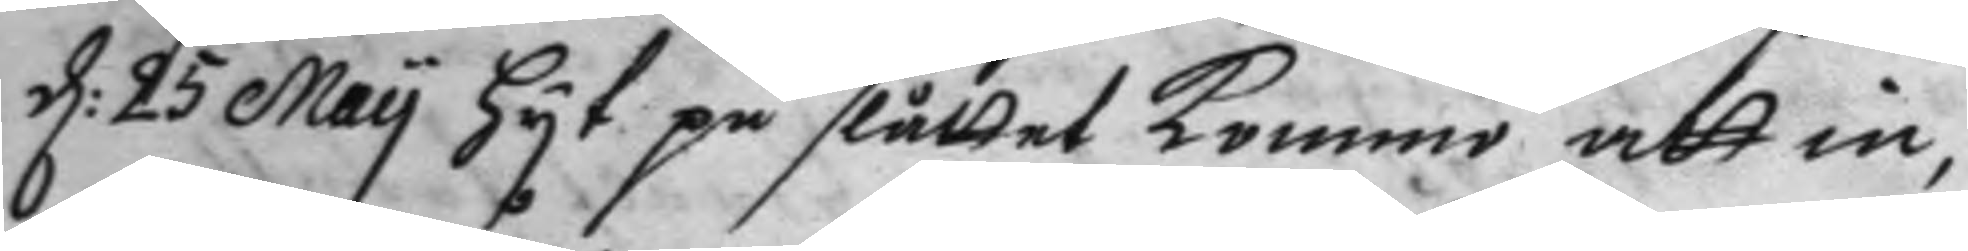d: 25 May hyt på slåttet kommo att in¬
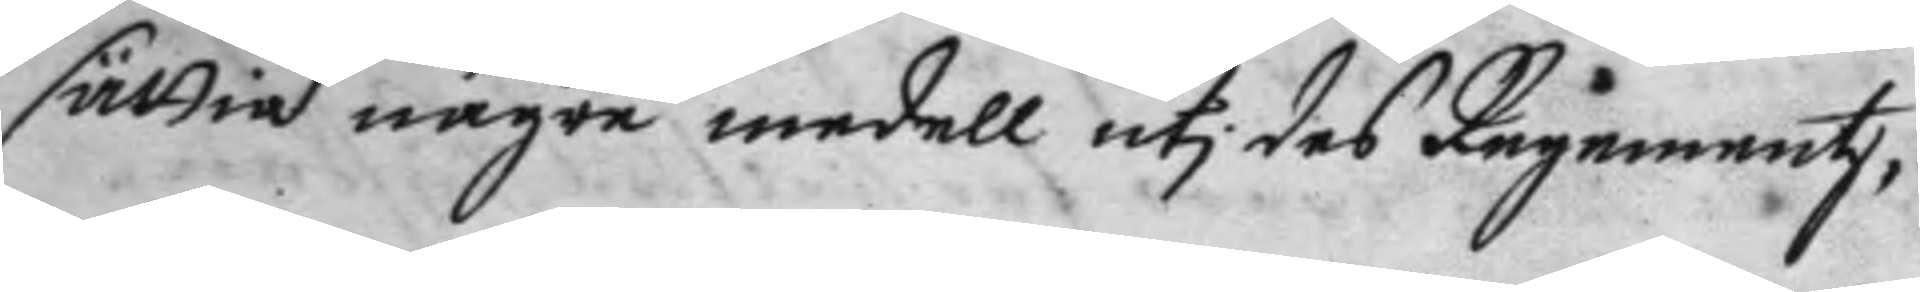sättia någre medell uti des Regementz¬
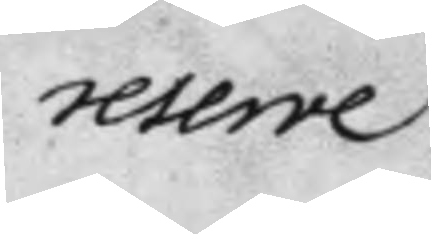reserve
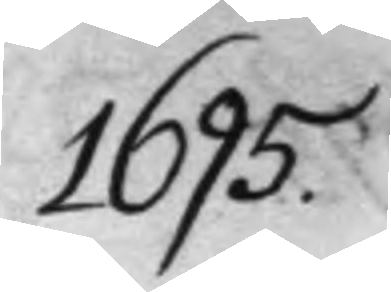1695.
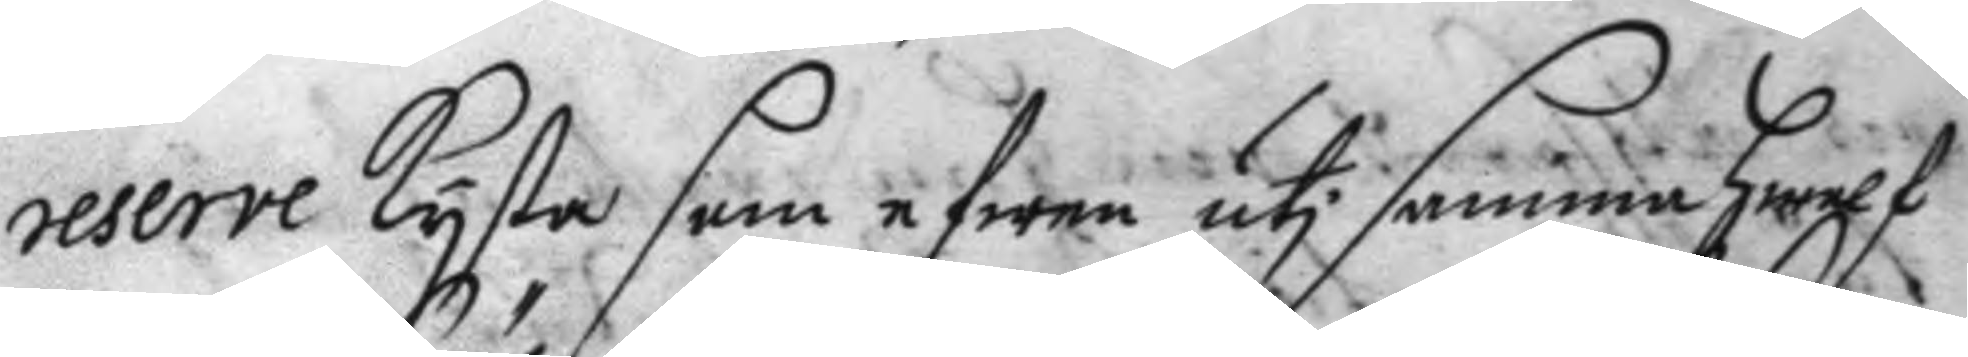reserve kysta som efwen uti samma hwalf
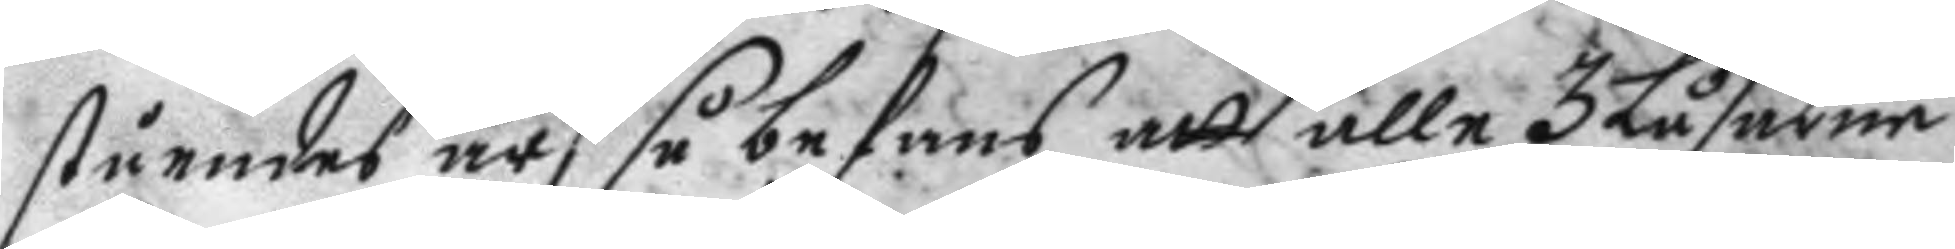ståendes är så befans att alle 3 låsarne
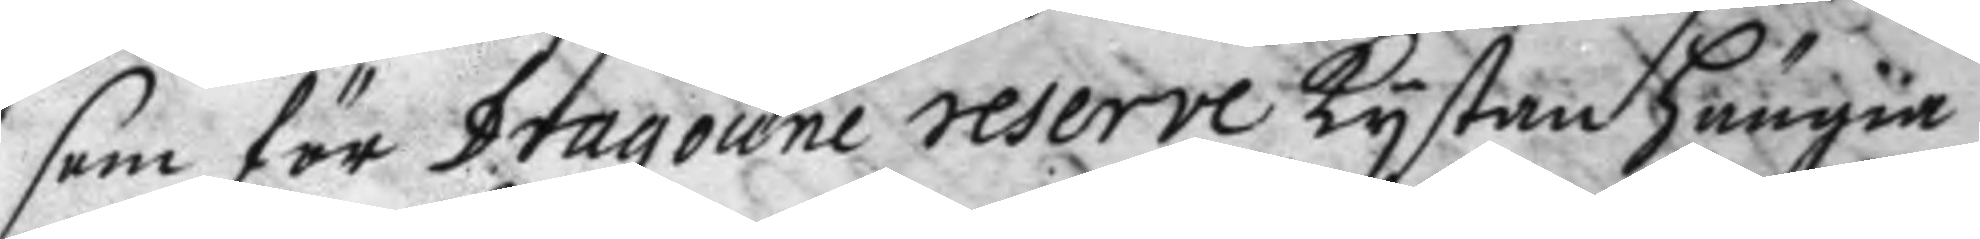som för Dragoune reserve kystan hänga
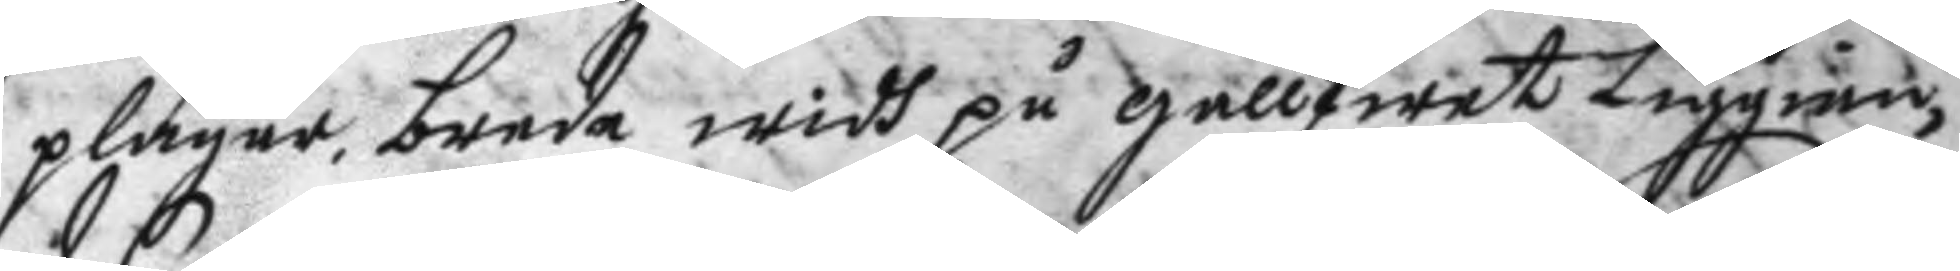plägar, bree widh på gållfwet Liggian¬
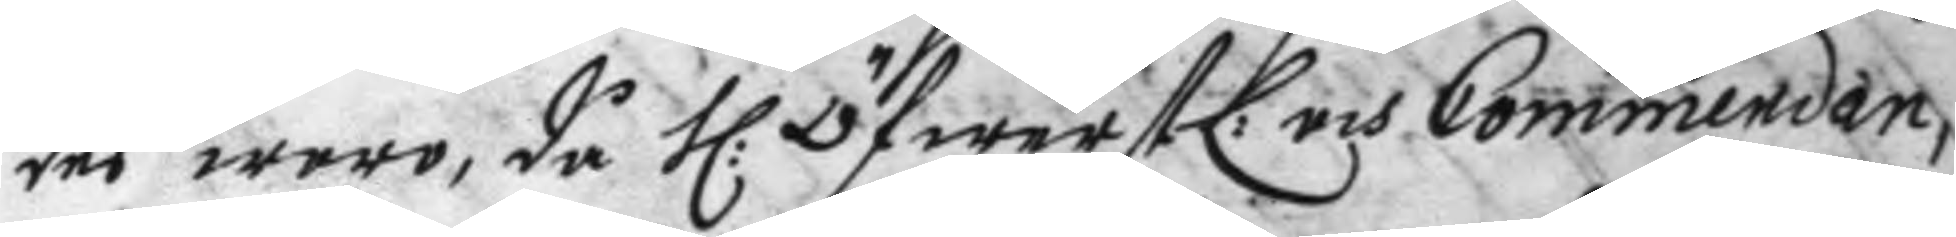des woro, då H: ÖfwerstL: och Commendan¬
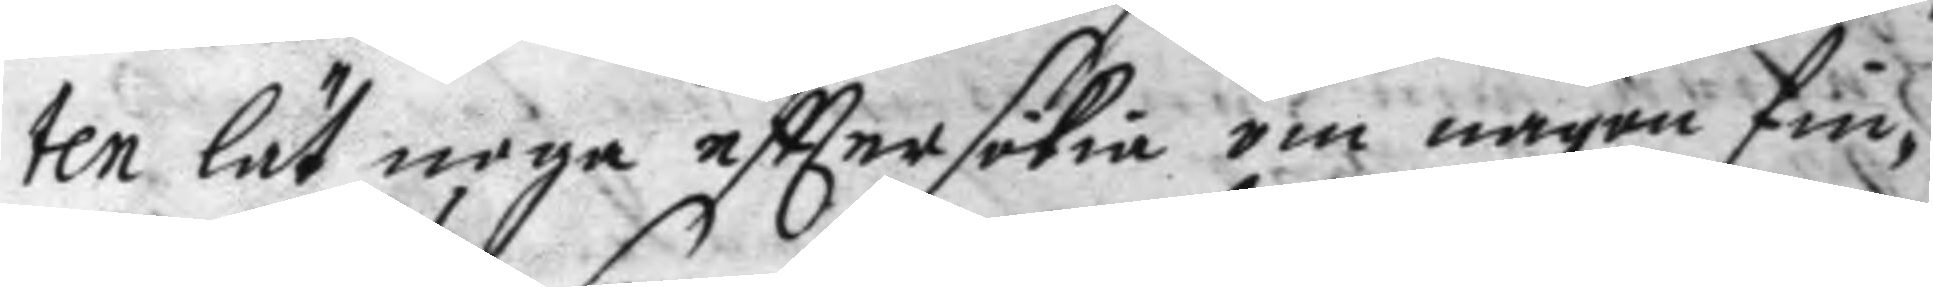ten lät noga efttersökia om någon fin¬
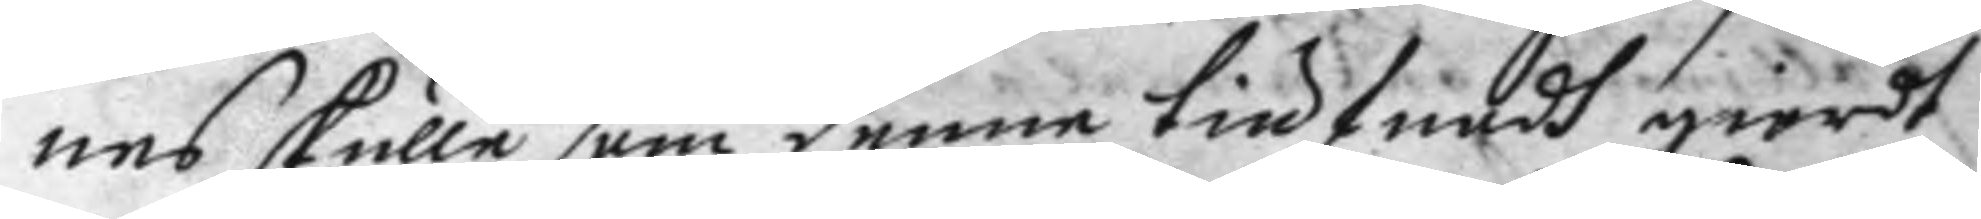nes skulle som denne tiufnadh giordt
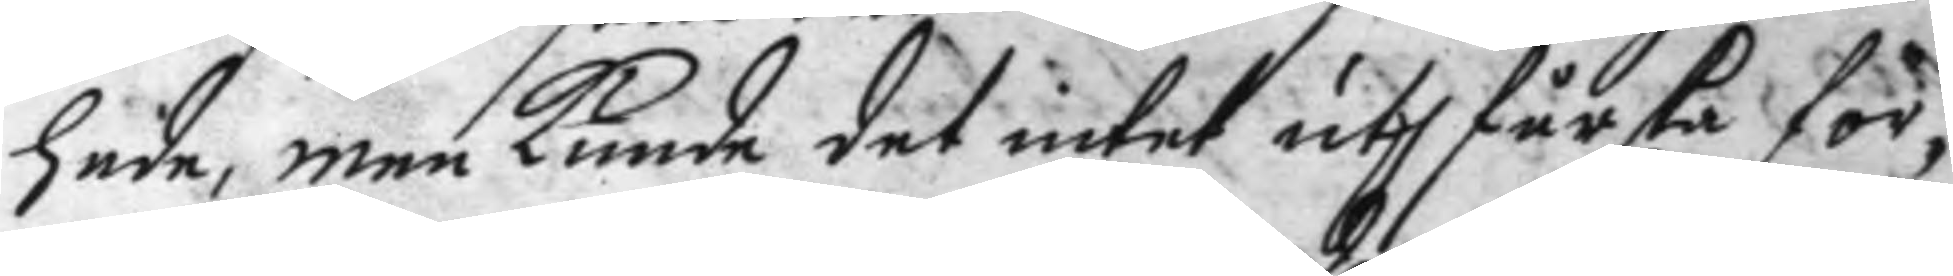hade, men kunde det intet uthfårska för¬
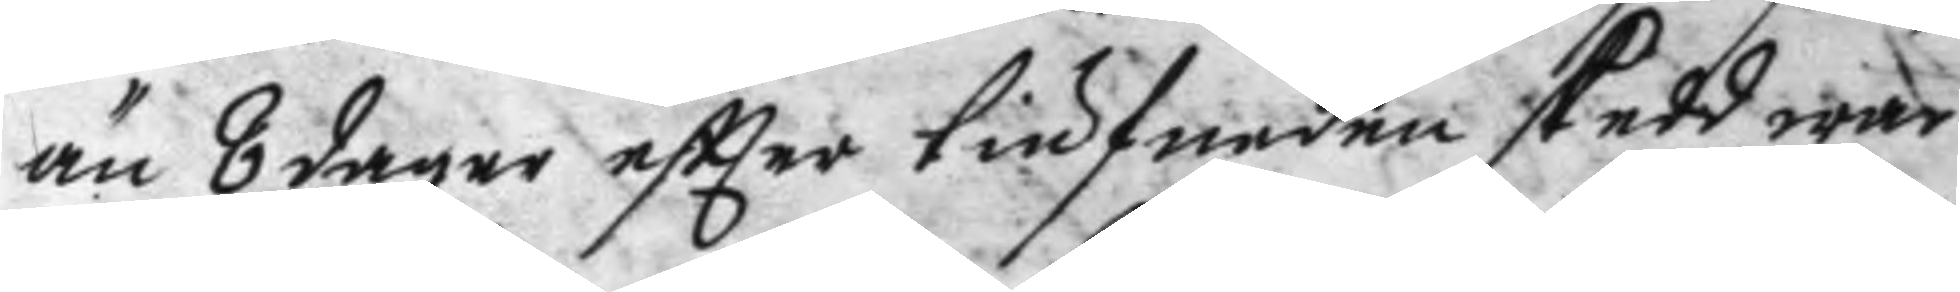än 8 dagar eftter tiufnaden skedd war
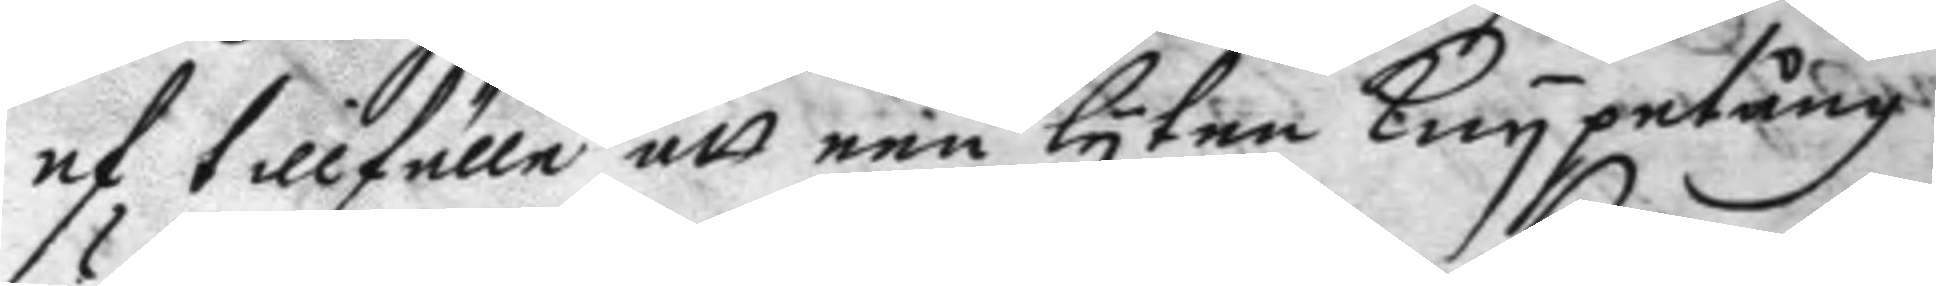af tillfälle att een lyten knypetång
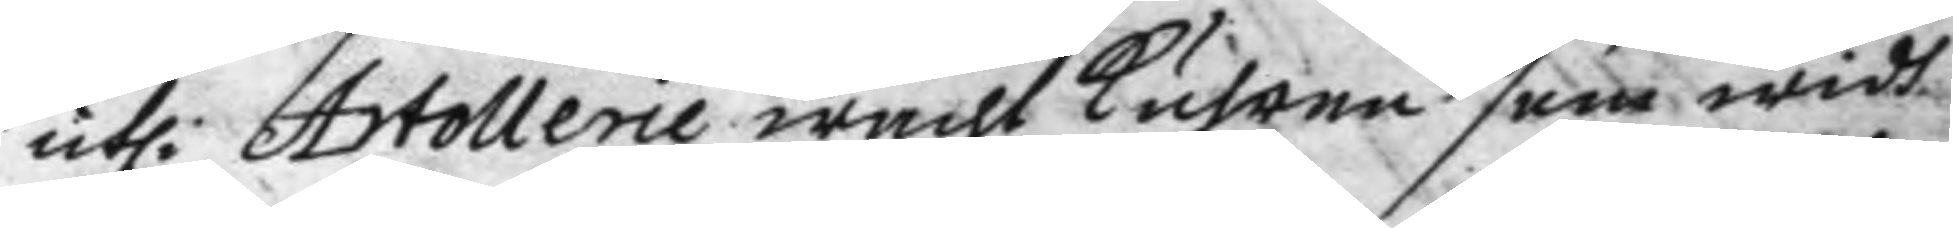uthi Artollerie wacht kuhren som widh
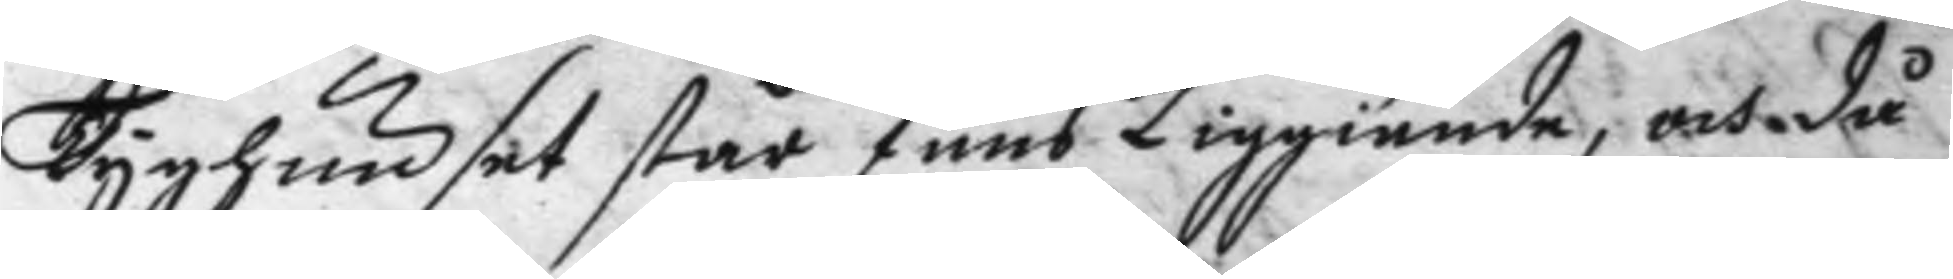Tyghuset står fans Liggiande, och då
